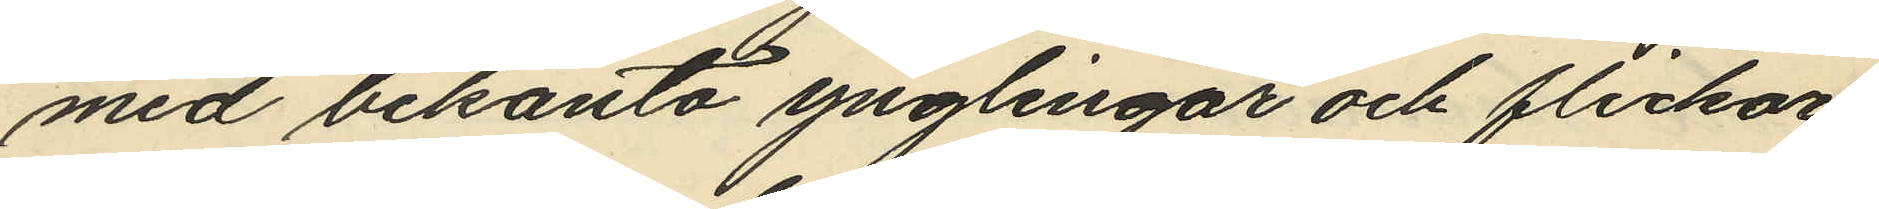med bekanta ynglingar och flickor,
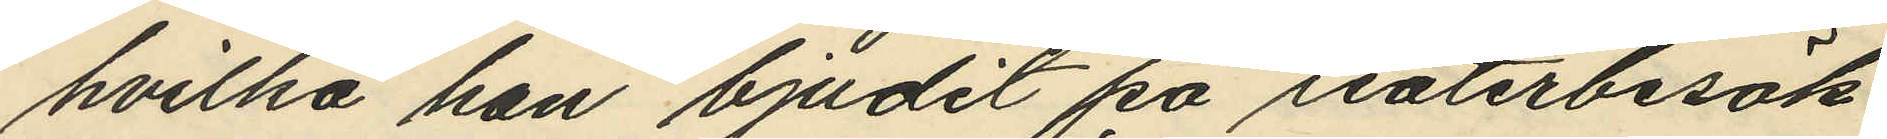hvilka han bjudit på teaterbesök
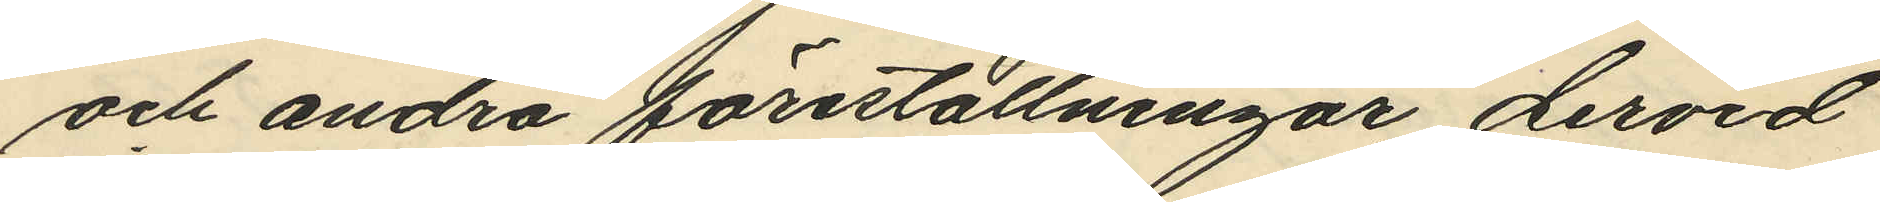och andra föreställningar dervid
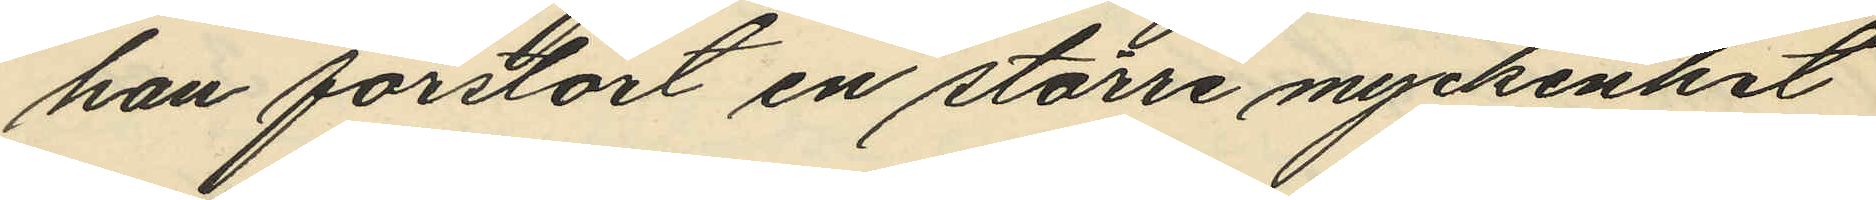han förstört en större myckenhet
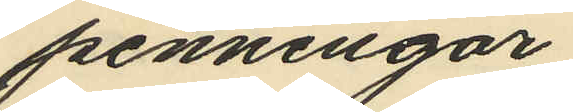penningar,
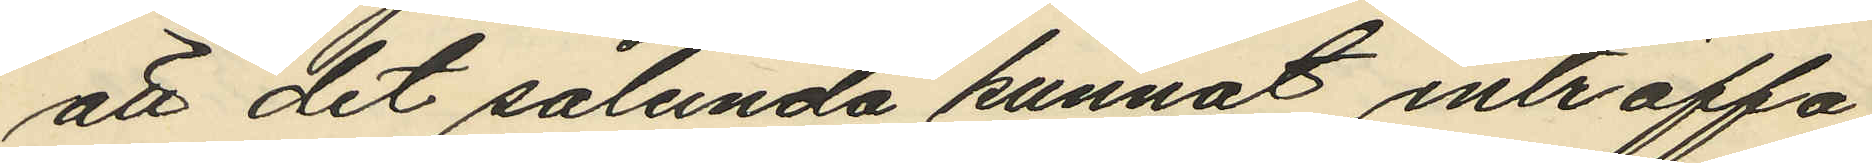att det sålunda kunnat inträffa
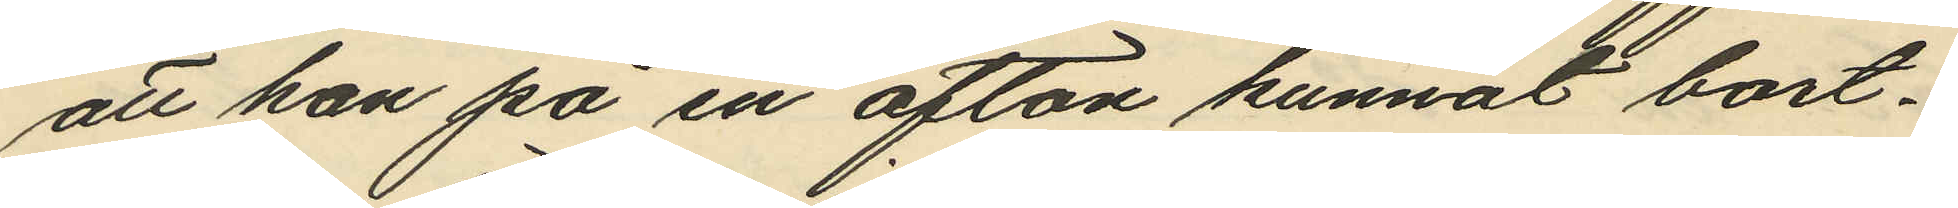att han på en afton kunnat bort¬
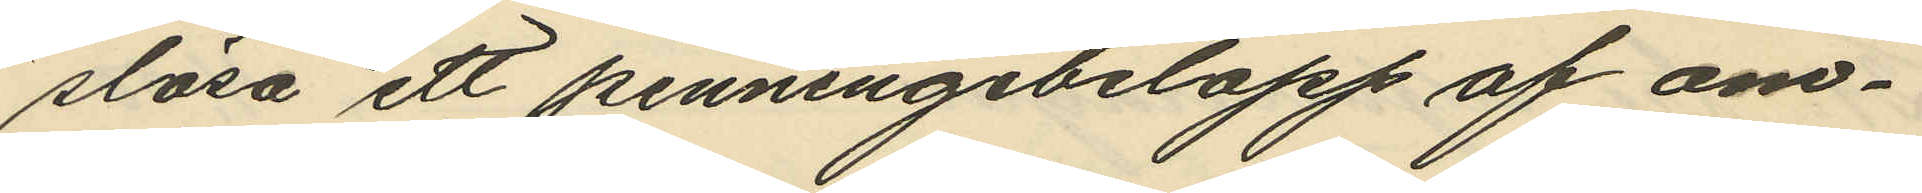slösa ett penningebelopp af om¬
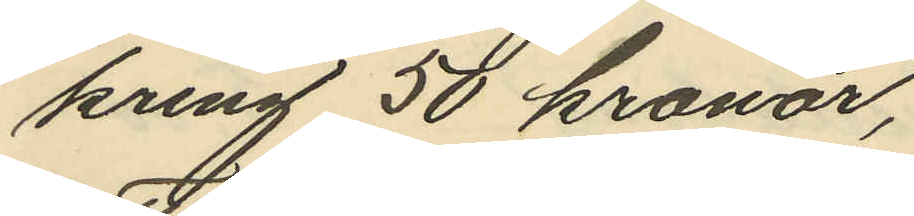kring 50 kronor,
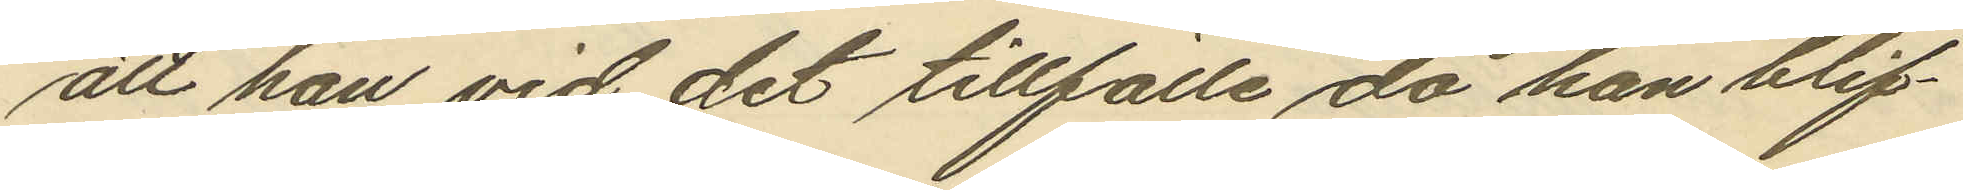att han vid det tillfälle då han blif¬
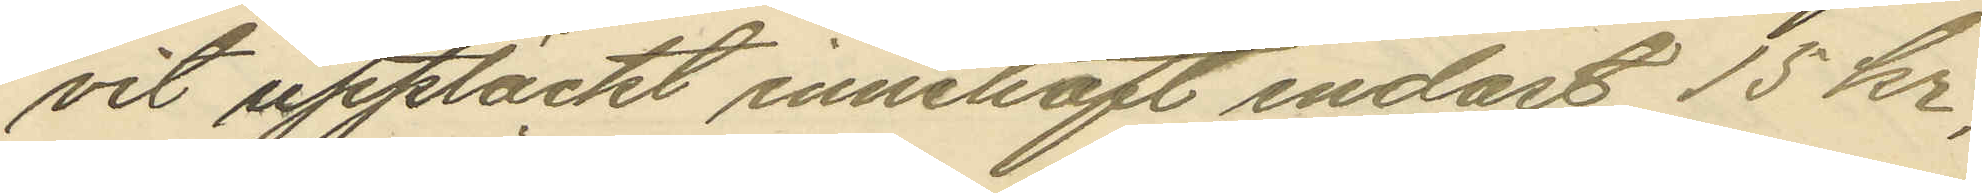vit upptäckt innehaft endast 15 kr,
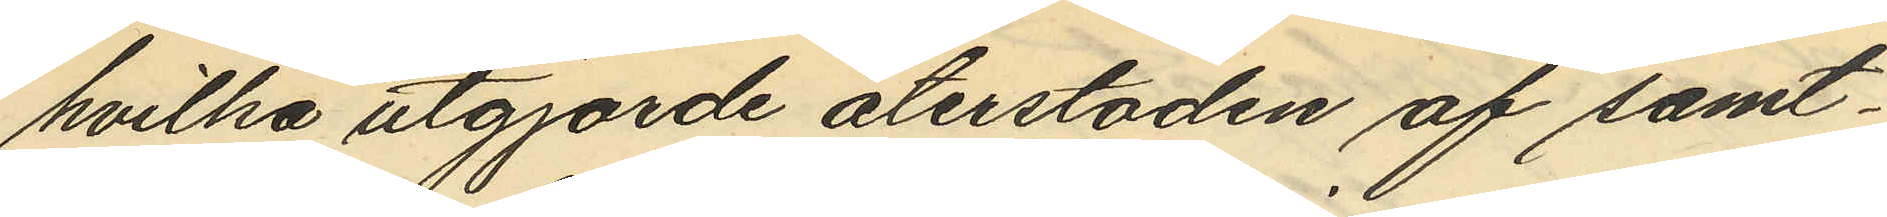hvilka utgjorde återstoden af samt¬
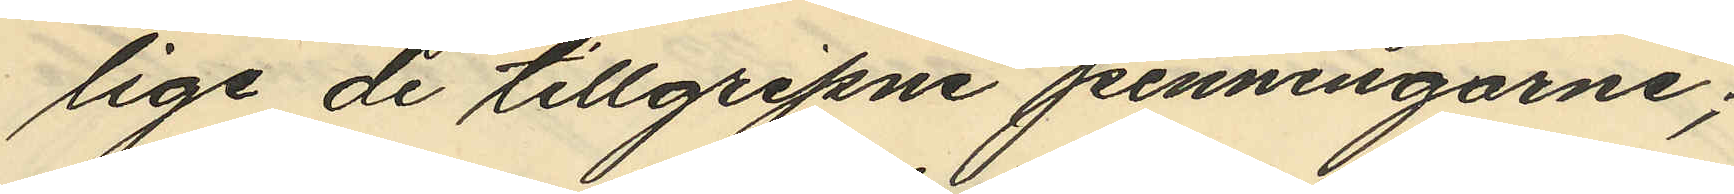lige de tillgripne penningarne;
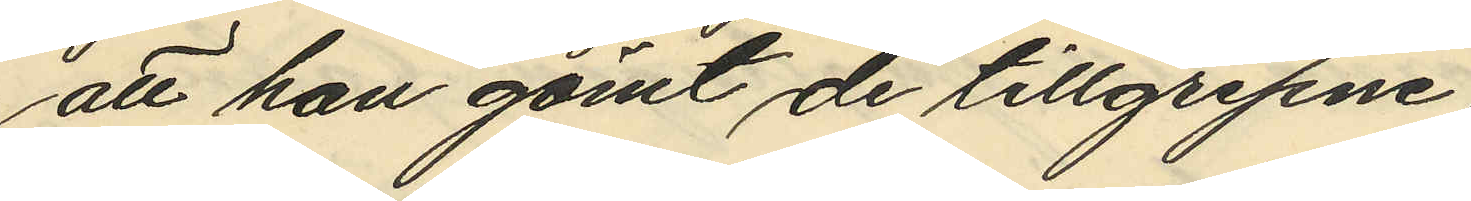att han gömt de tillgripne
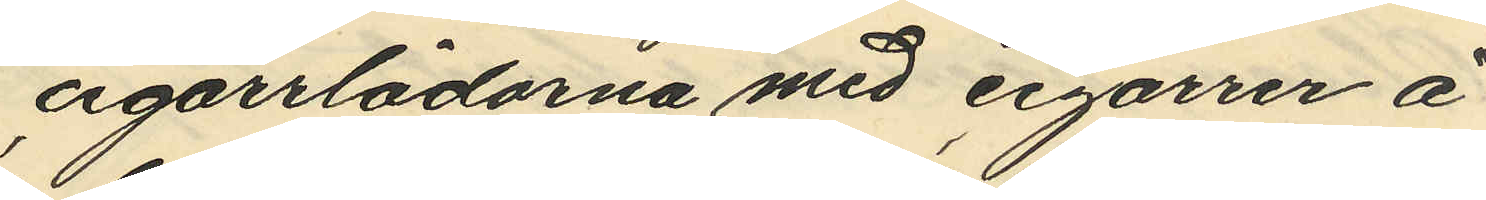cigarrlådorna med cigarrer å
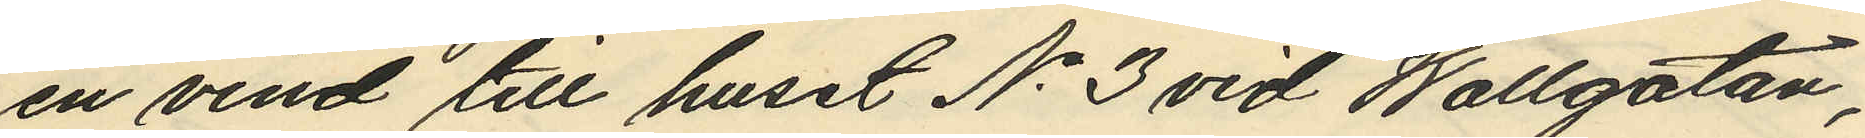en vind till huset No 3 vid Wallgatan,
